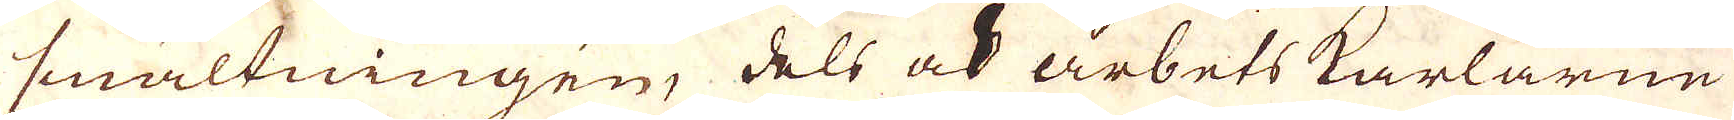smältningen, dels och arbets karlarne
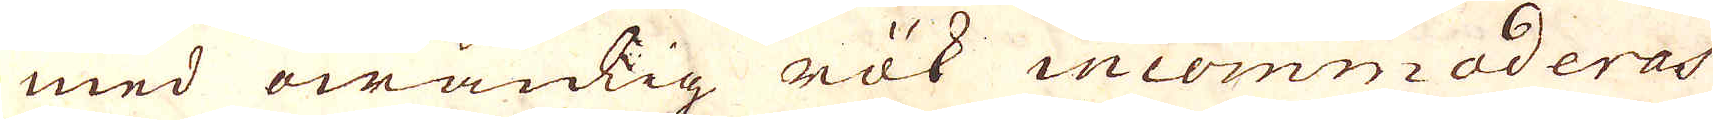med owanlig rök incommoderas
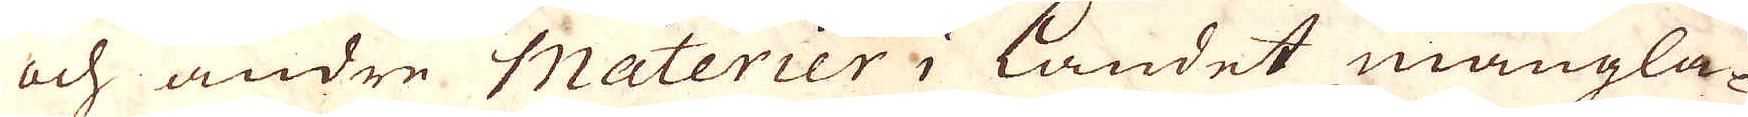och andre Materier i Landet mangla-
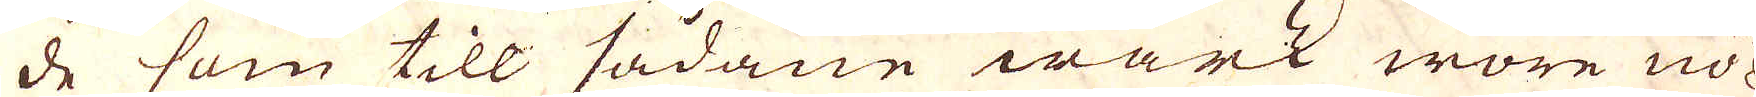de som till sådane wärk wore nö-
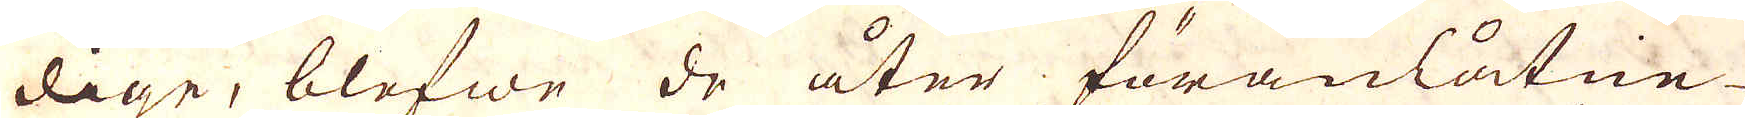dige, blefwe de åter föranlåtne
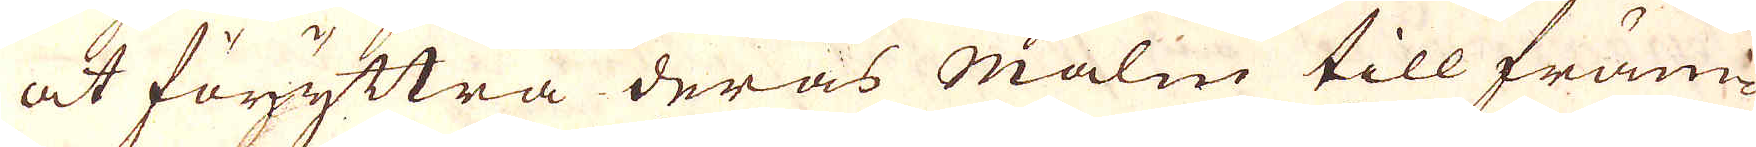at föryttra deras Malm till främ-
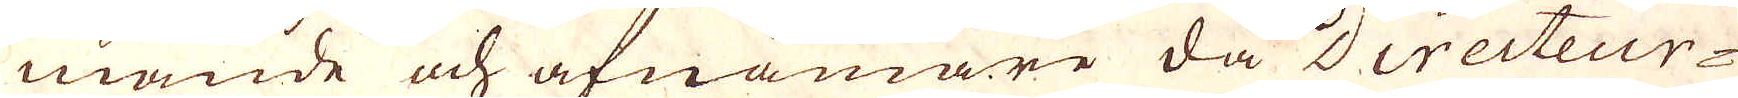mande och afnämare då Directeur-
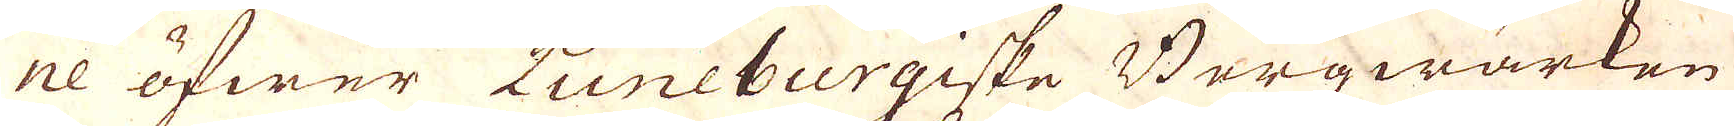ne öfwer Luneburgiske Bergwärken
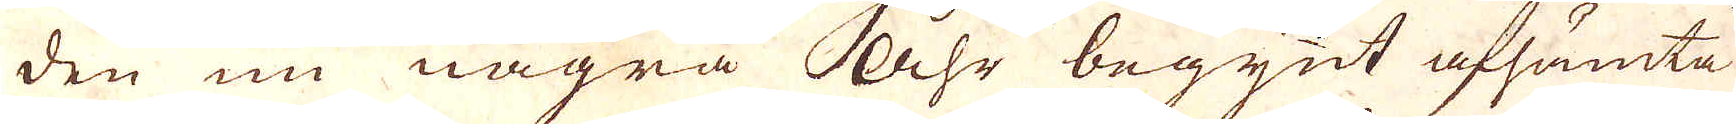den nu några Åhr begynt afhämta
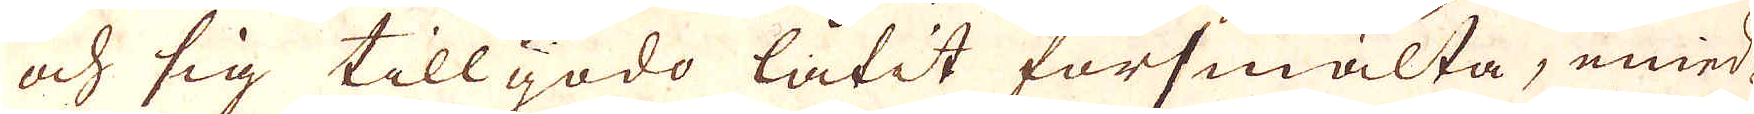och sig tillgodo låtit försmälta, emed-
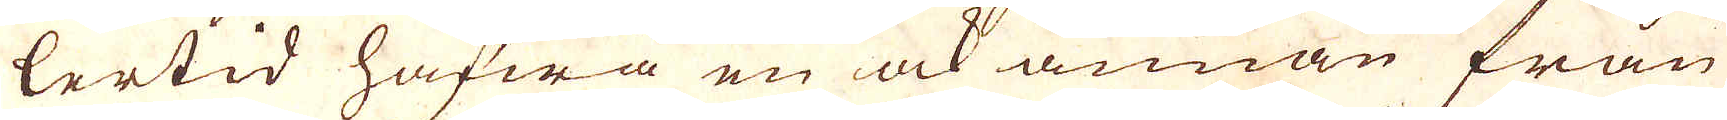lertid hafwa en ok annan från
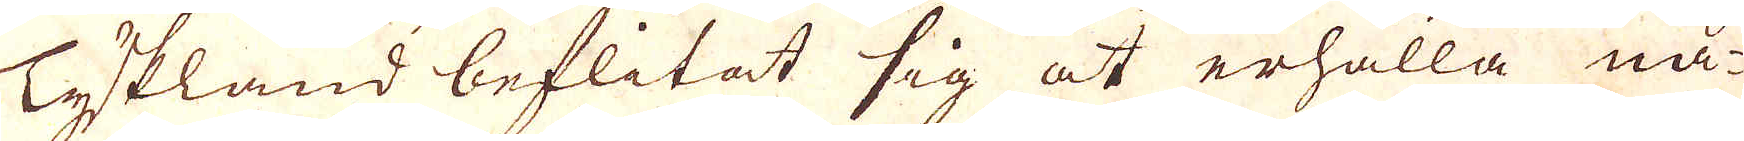Tyskland beflitat sig at erhålla nå-
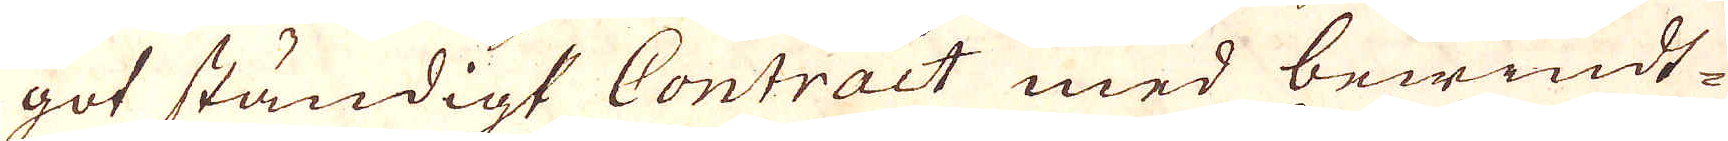got ständigt Contract med bewindt-
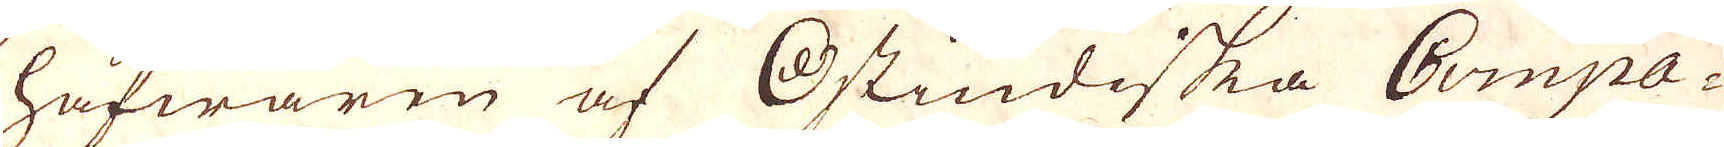hafwaren af Ostindiska Compa-
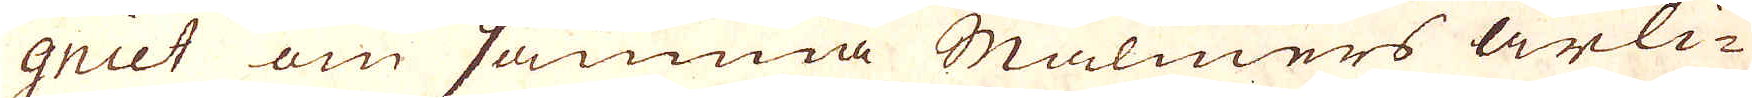qniet om samma malmers årli-
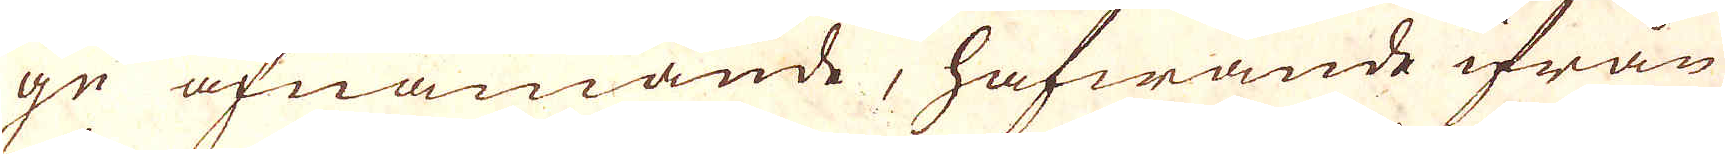ge afnämande, hafwande ifrån
